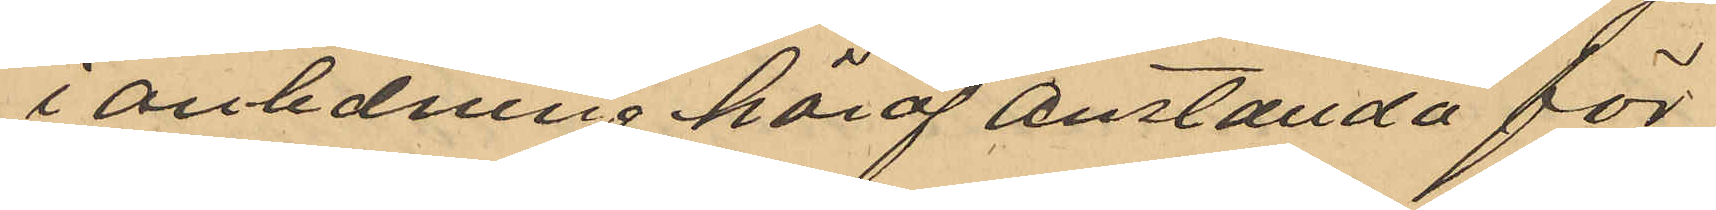i anledning häraf anställda för
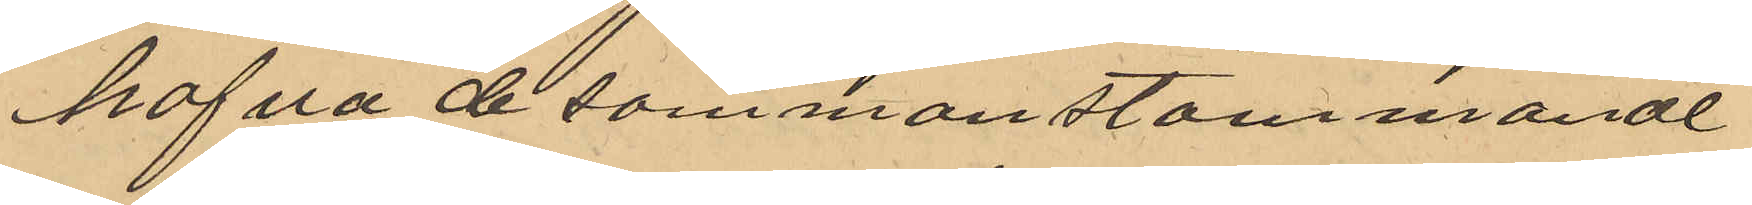hafva de sammanstämmande
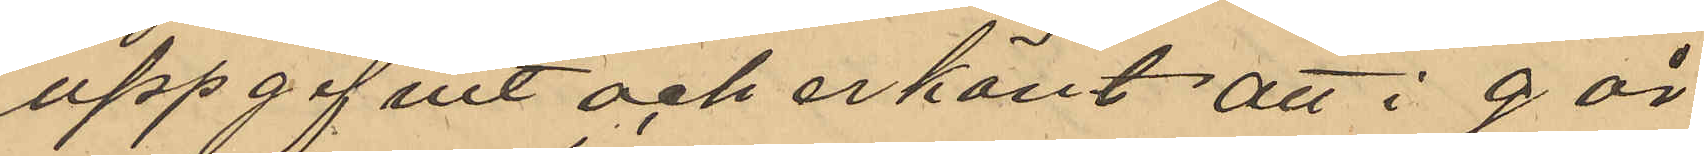uppgifvit och erkänt att i går
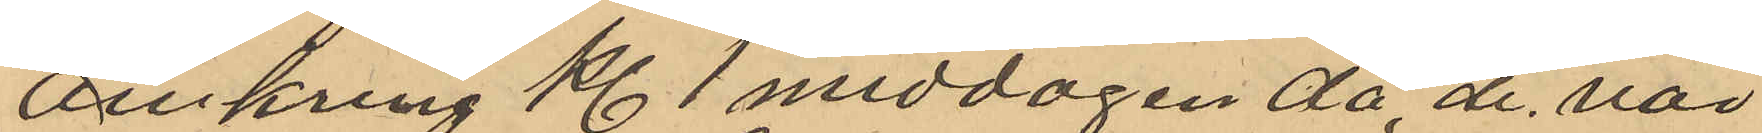omkring Kl 1 middagen då de var¬
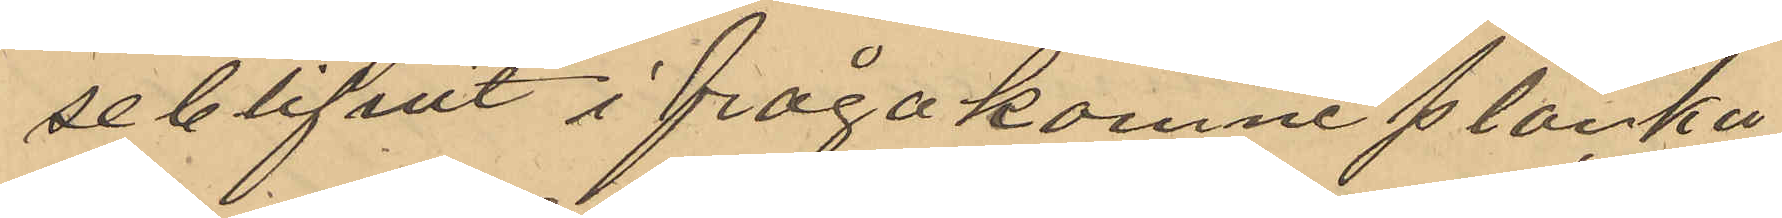seblifit ifrågakomne planka
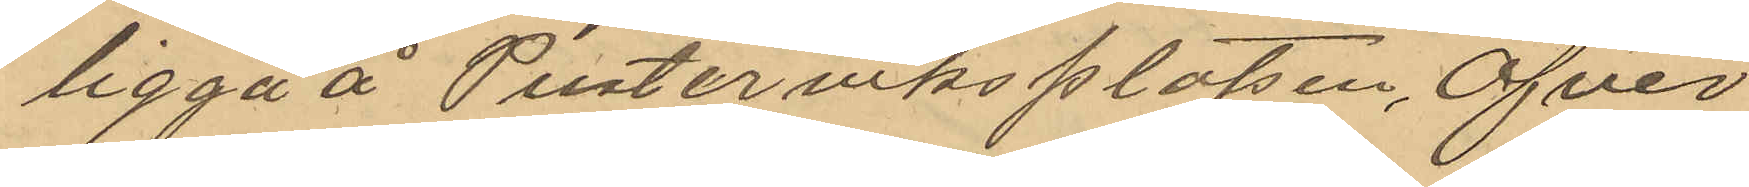ligga å Pusterviksplatsen, Öfver¬
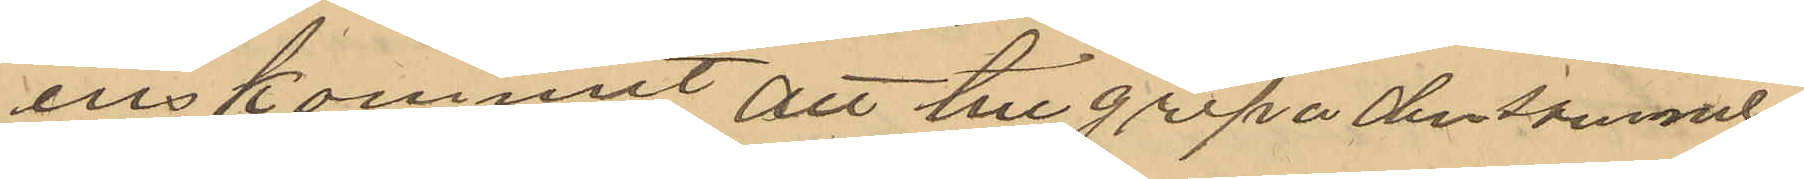enskommit att tillgripa densamme
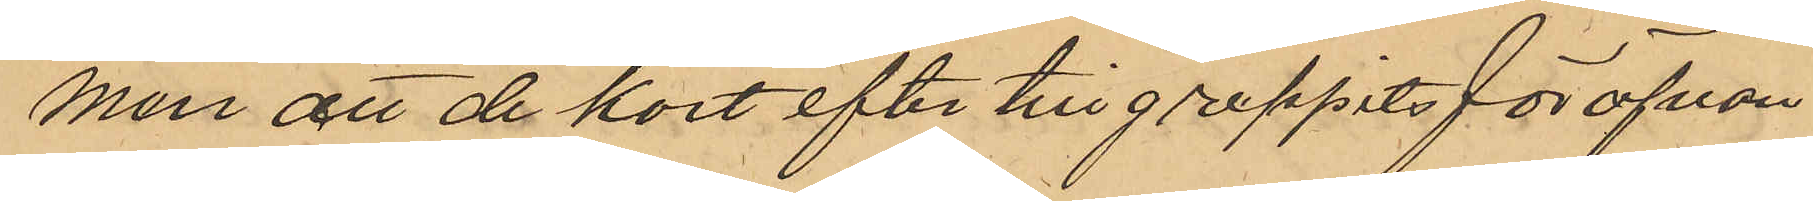men att de kort efter tillgreppets för ofvan¬
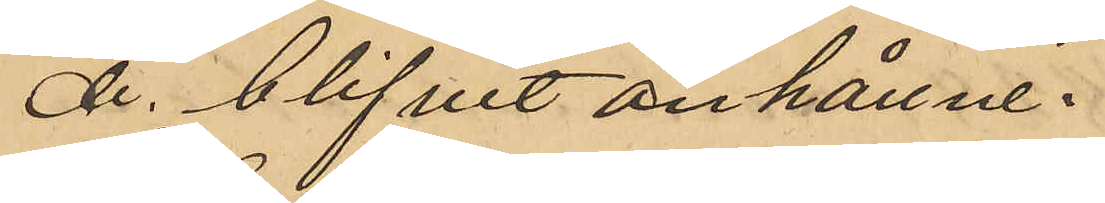de blifvit anhållne.
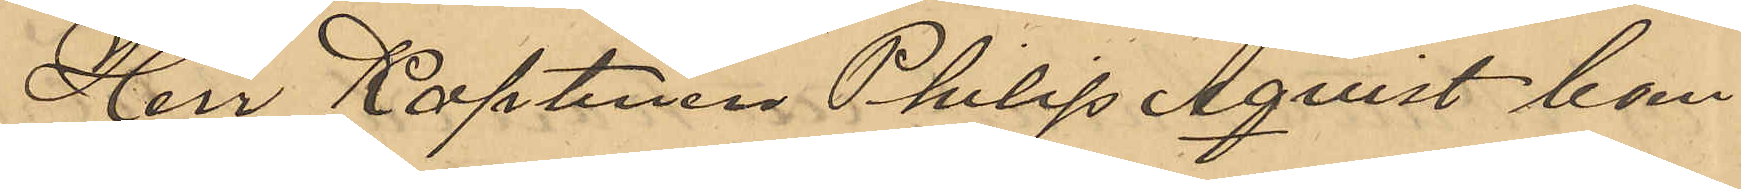Hrr Kaptenen Philip Åqvist boen¬
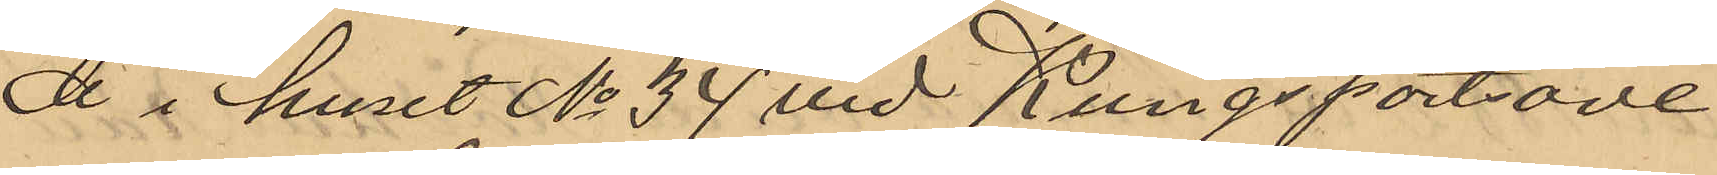de i huset No 34 vid Kungsportsave-
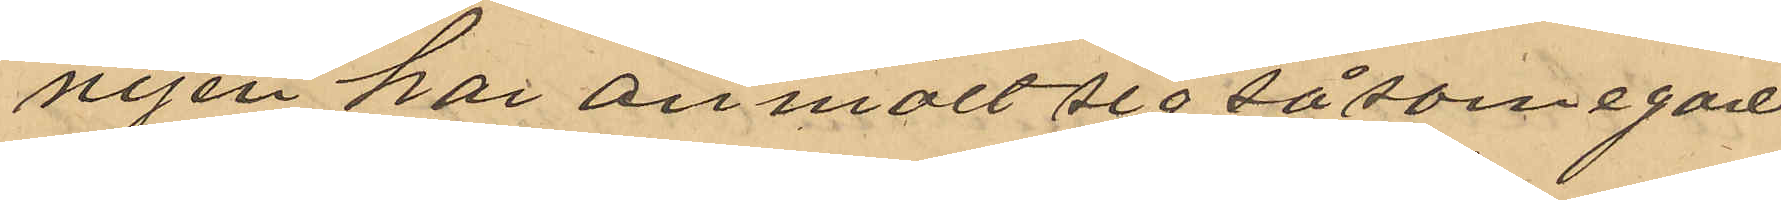nyen har anmält sig såsom egare
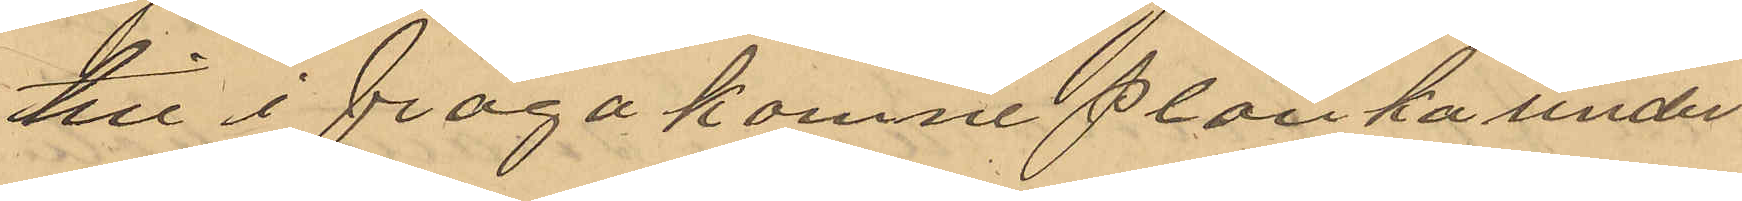till i fråga komne planka under
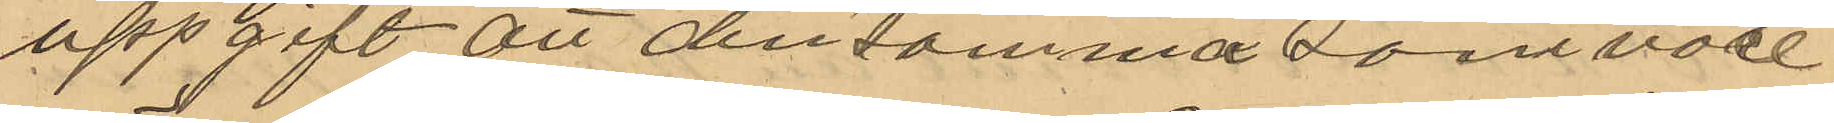uppgift att densamma som vore
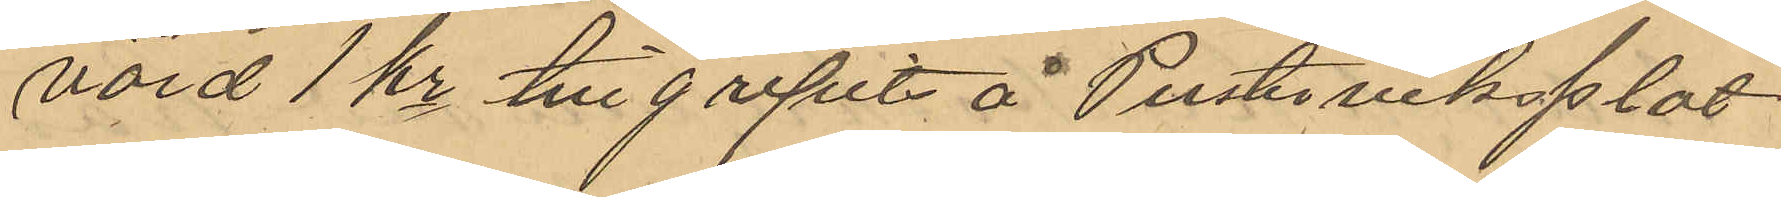värd 1 kr tillgripit å Pusterviksplat¬
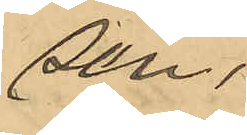sen.
